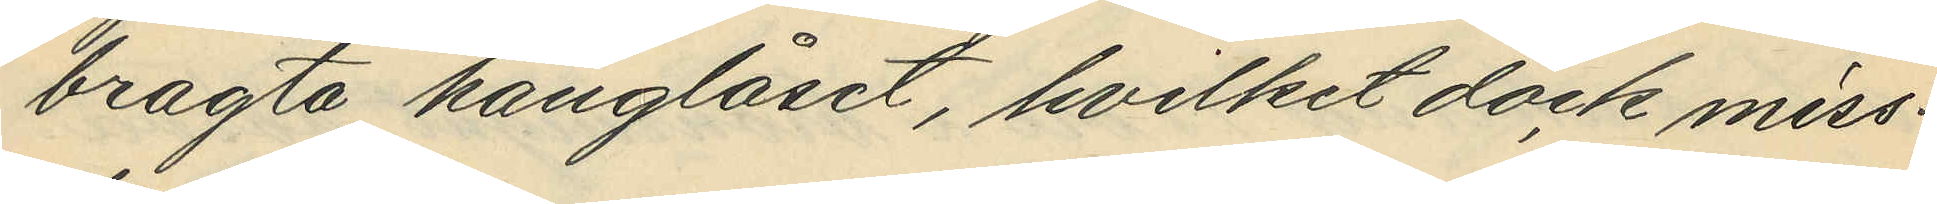bragta hänglåset, hvilket dock miss¬
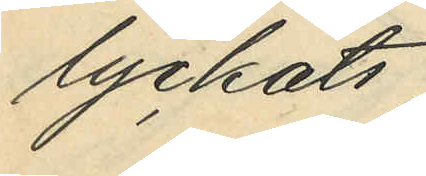lyckats;
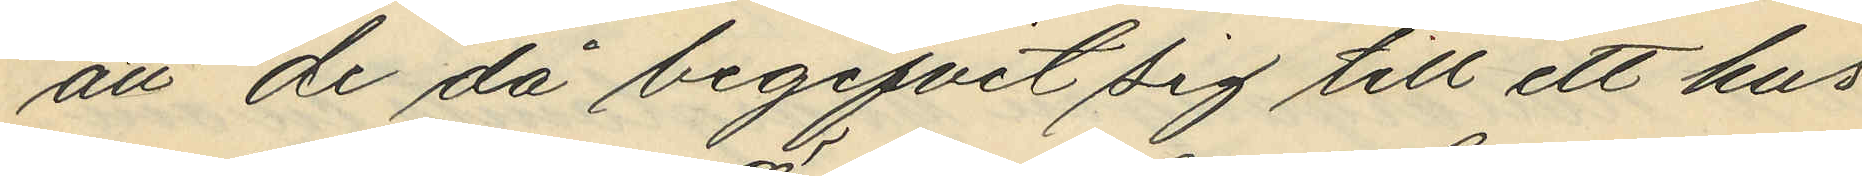att de då begifvit sig till ett hus
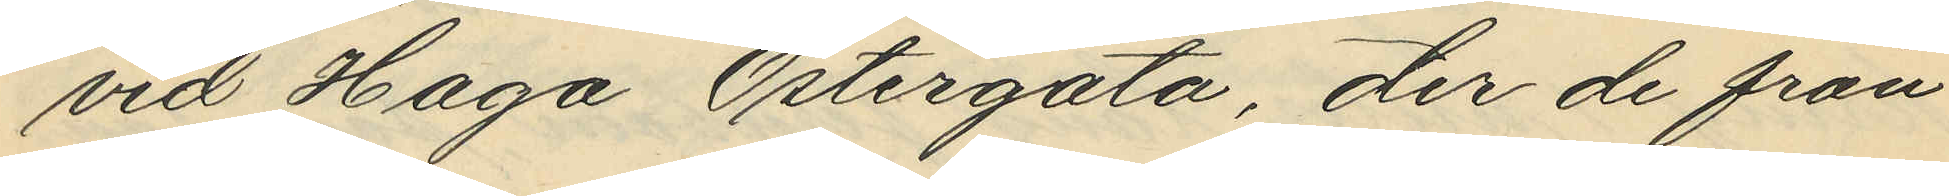vid Haga Östergata, der de från
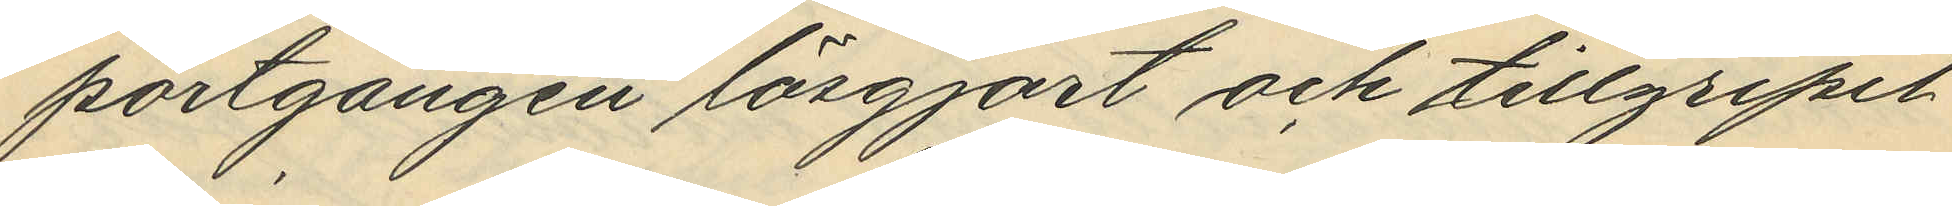portgången lösgjort och tillgripit
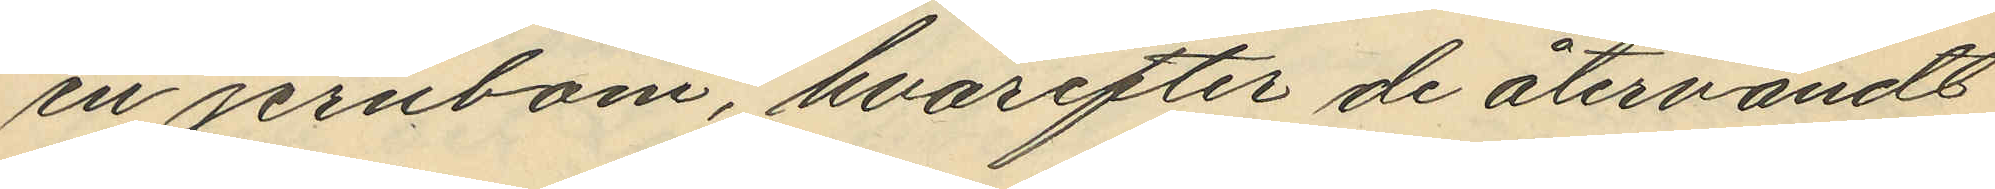en jernbom, hvarfter de återvändt
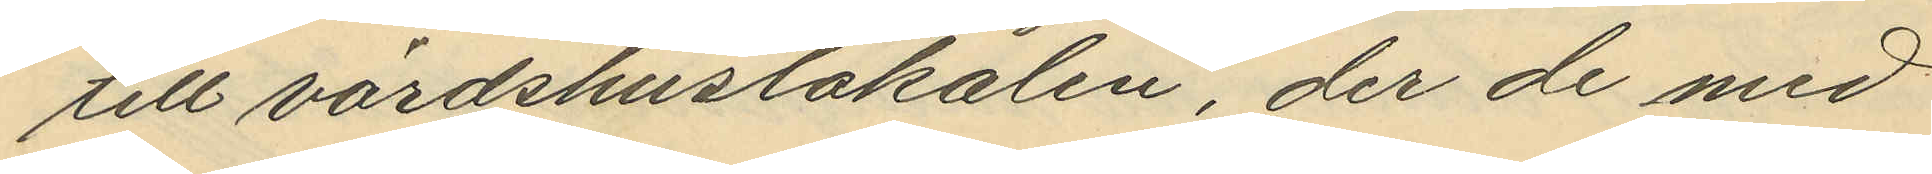till värdshuslokalen, der de med
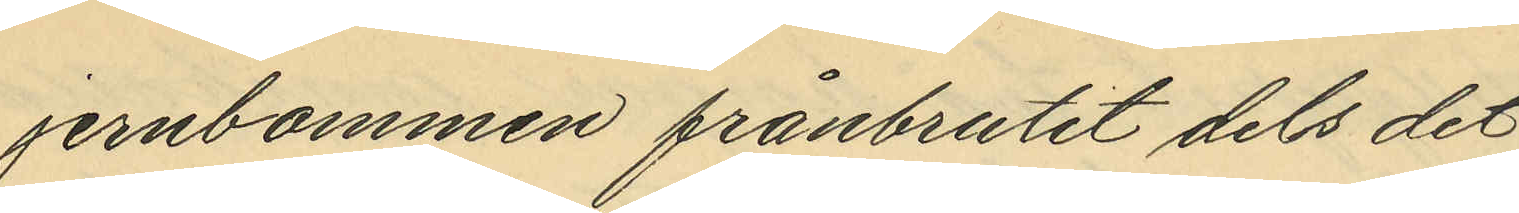jernbommen frånbrutit dels det
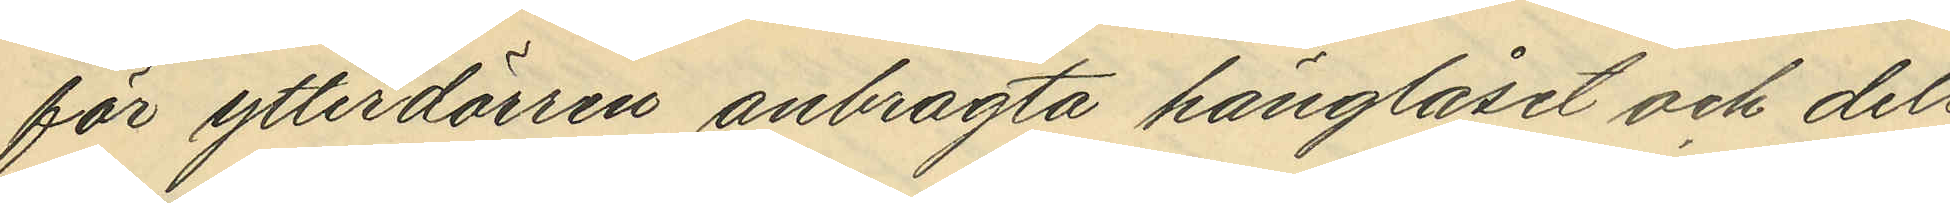för ytterdörren anbragta hänglåset och dels
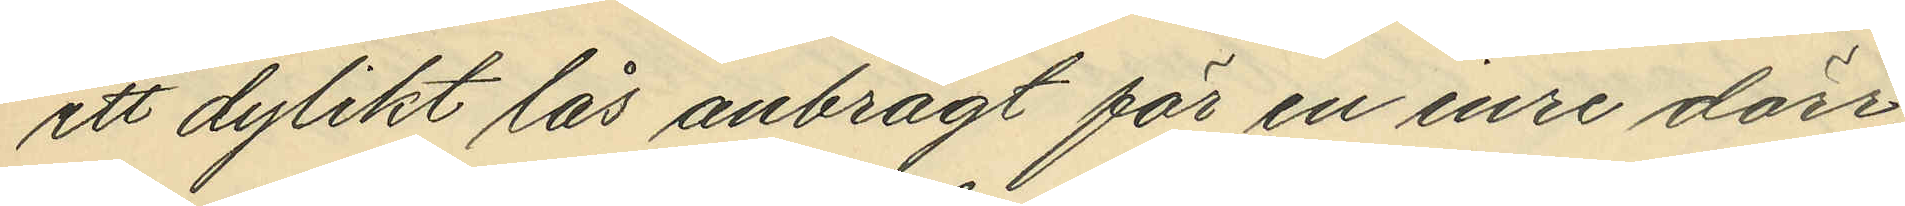ett dylikt lås anbragt för en inre dörr;
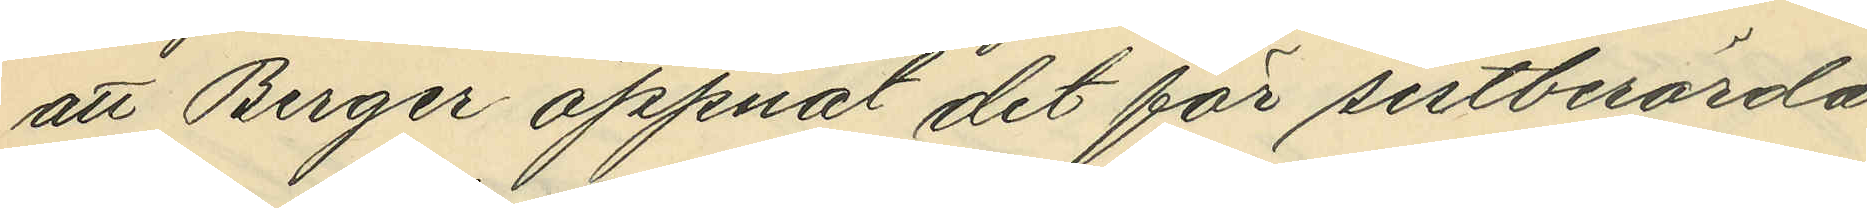att Berger öppnat det för sistberörda
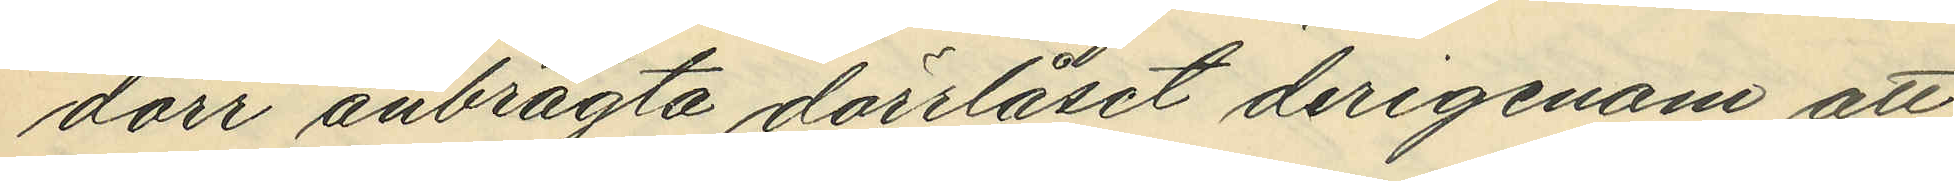dörr anbragta dörrlåset derigenom att
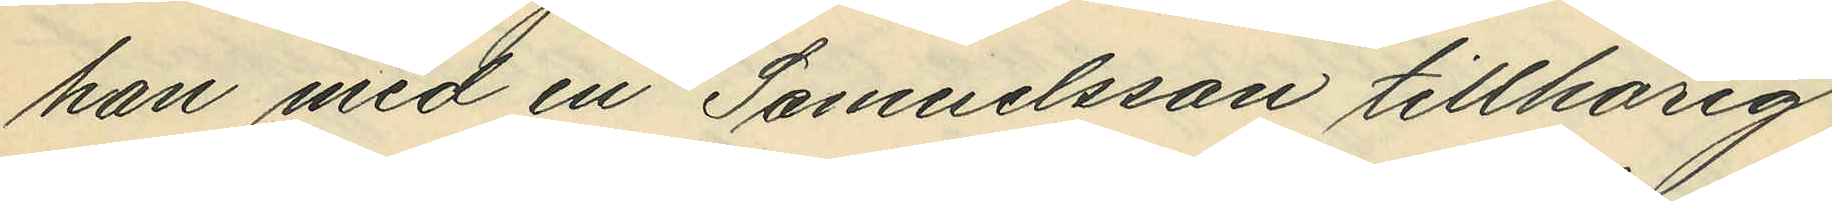han med en Samuelssons tillhörig
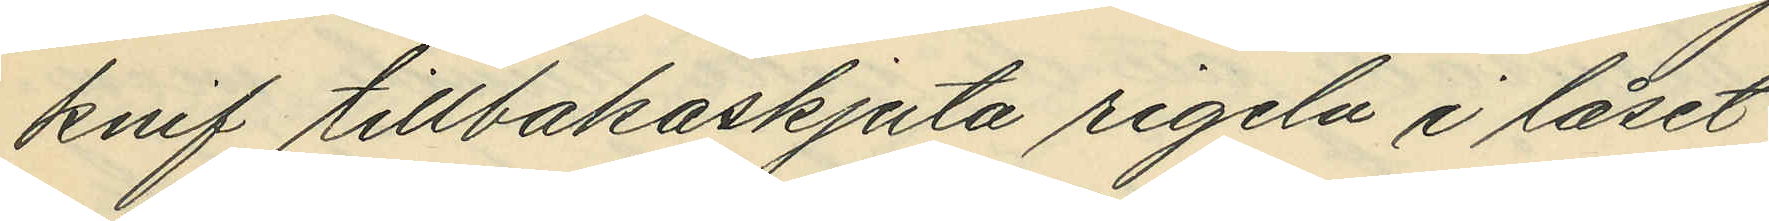kvif tillbakaskjuta rigeln i låset,
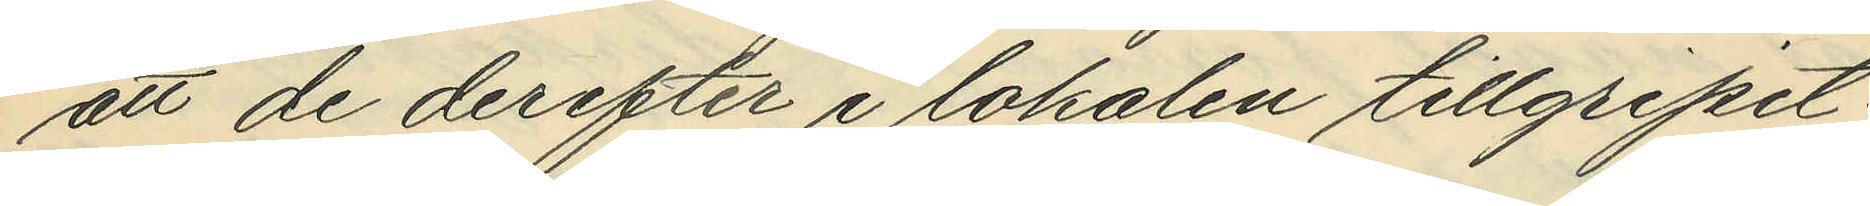att de derefter i lokalen tillgripit:
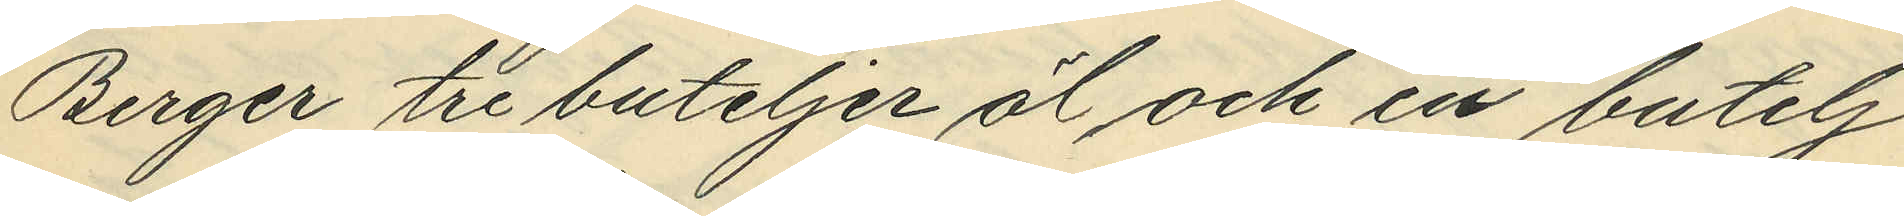Berger tre buteljer öl och en butelj
